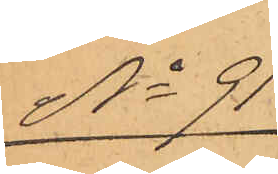No 91
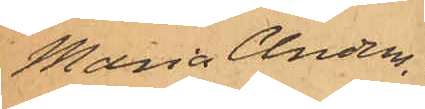Maria Anders¬
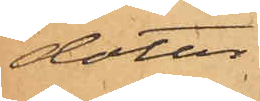dotter.
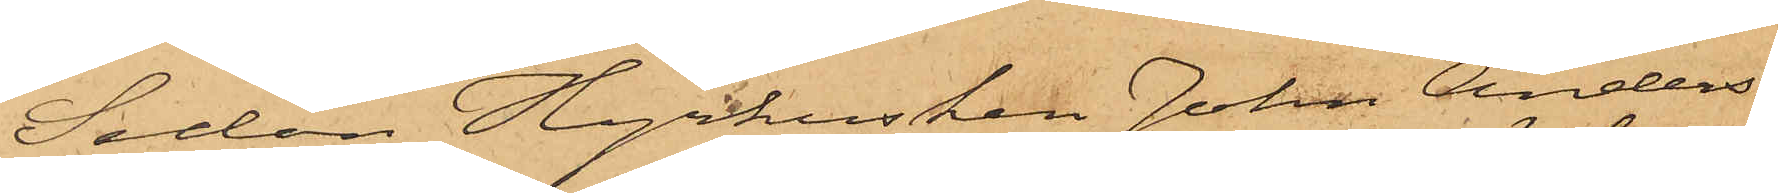Sedan Hyrkusken Johan Anders¬
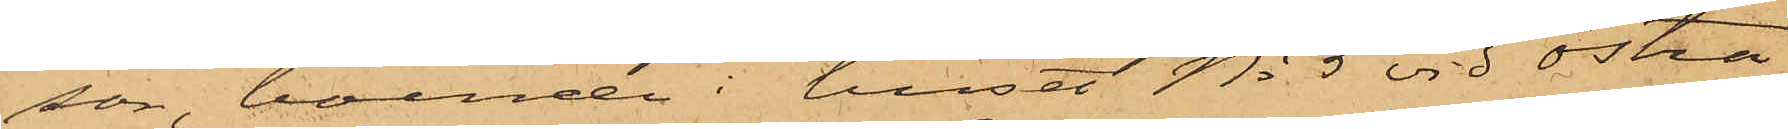son, boende i huset No 5 vid Östra
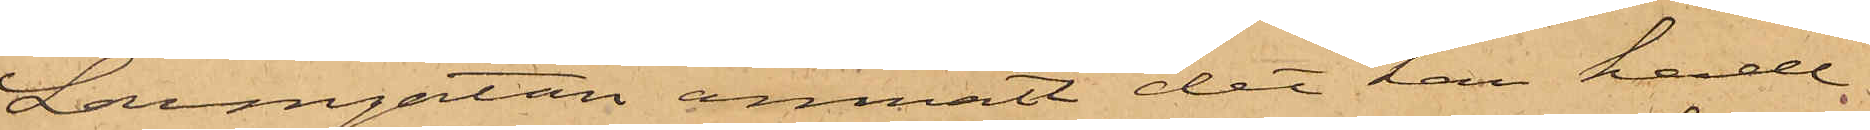Larmgatan anmält det han hade
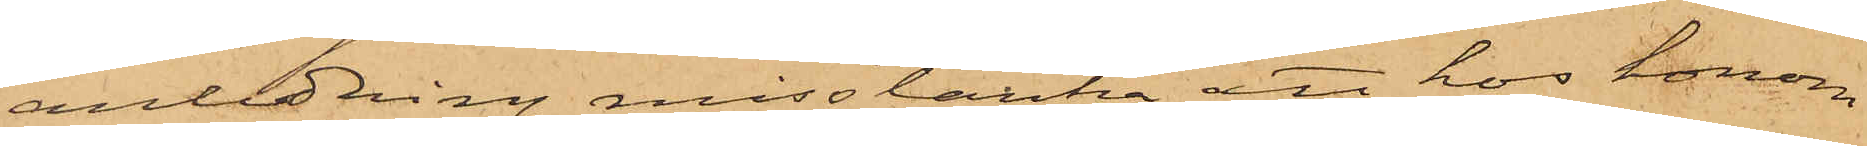anledning misstänka att hos honom
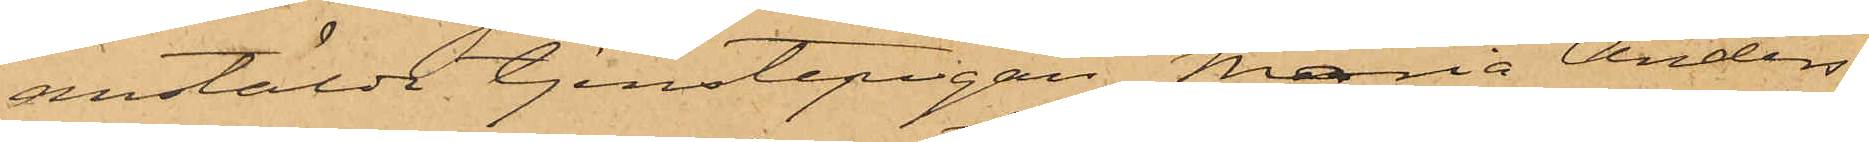anstälda tjenstepigan Maria Anders¬
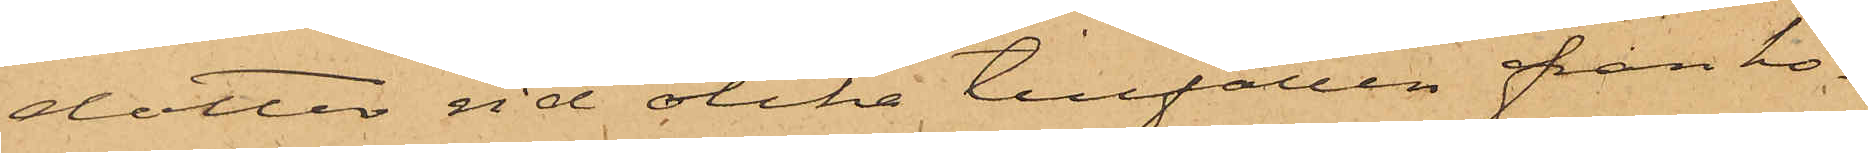dotter vid olika tillfällen från ho¬
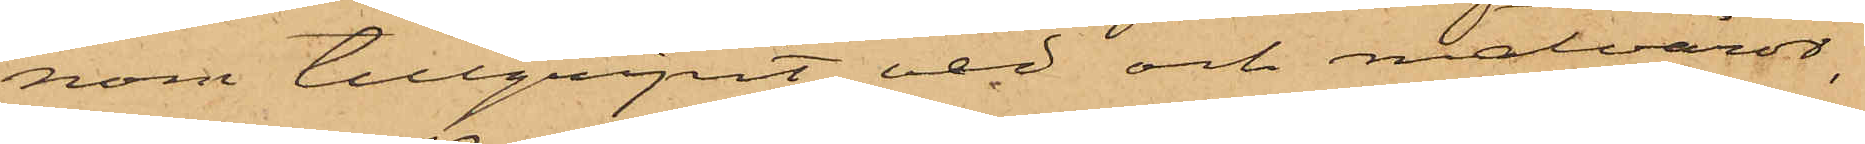nom tillgripit ved och matvaror,
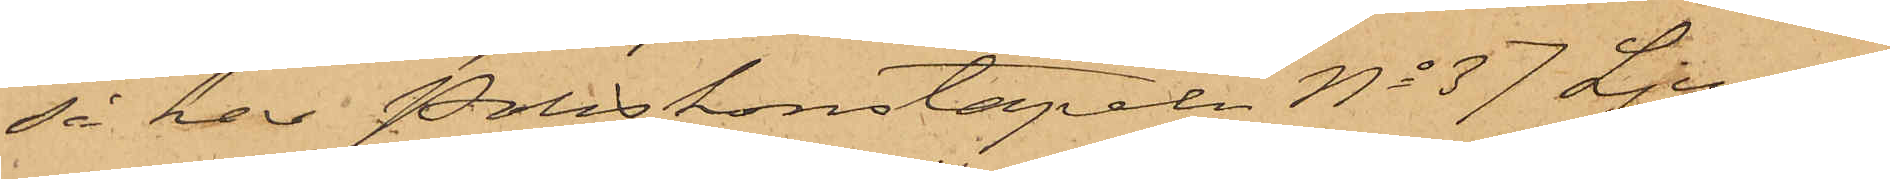så har Poliskonstapeln No 37 Ljung¬
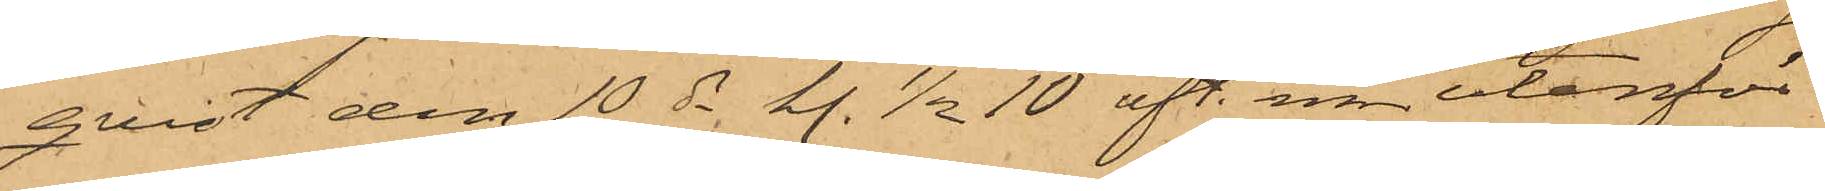qvist den 10 ds kl. 1/2 10 eft. m. utanför
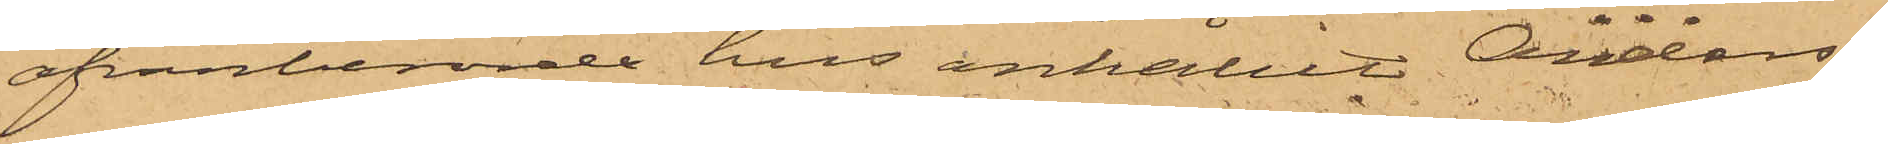ofvanberörde hus anhållit Anders¬
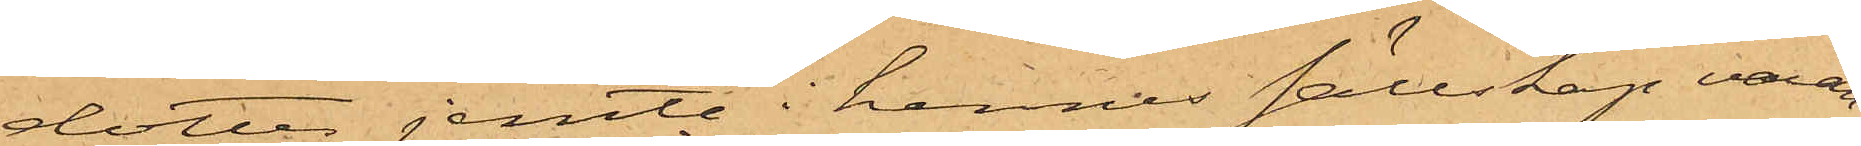dotter jemte i hennes sällskap varan¬
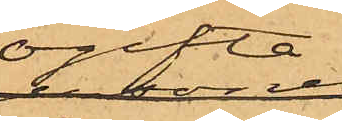ogifta
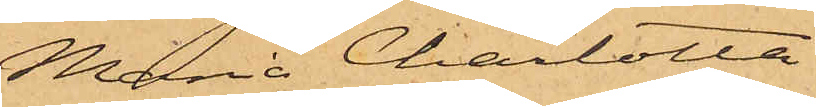Maria Charlotta
